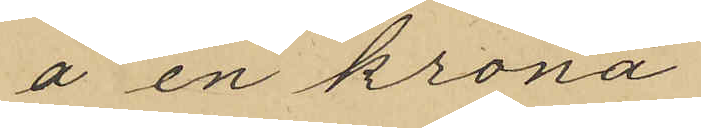å en krona.
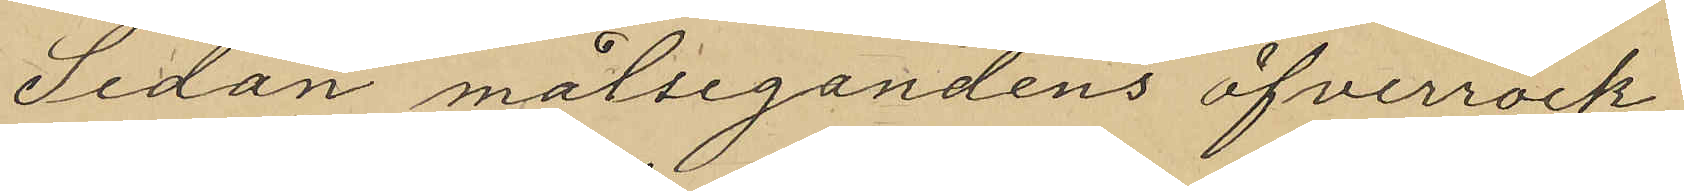Sedan målsegandens öfverrock
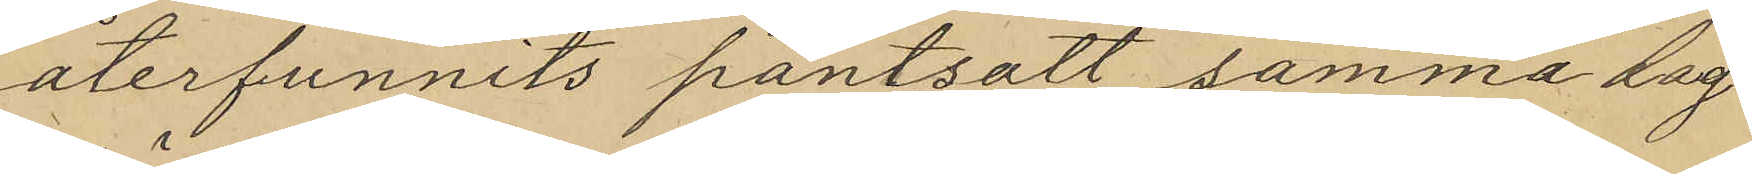återfunnits pantsatt samma dag
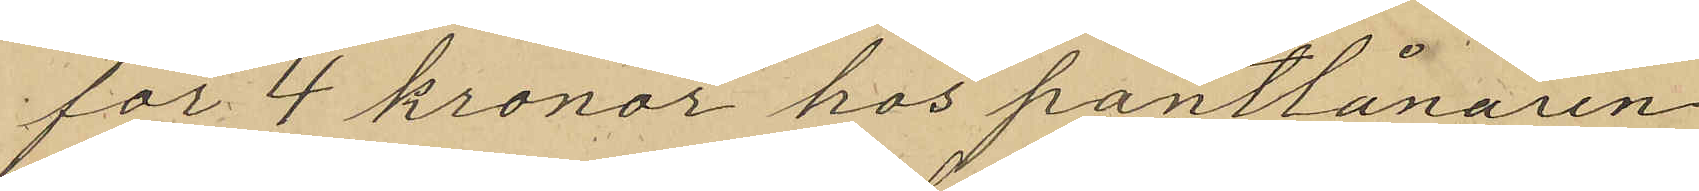för 4 kronor hos pantlånaren
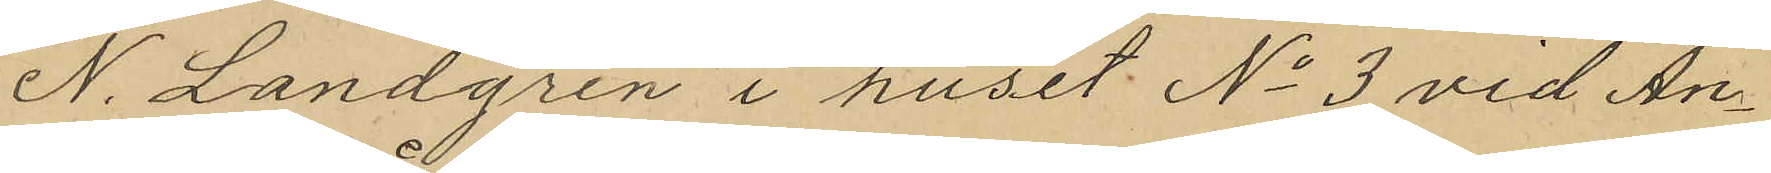N. Landgren i huset No 3 vid An¬
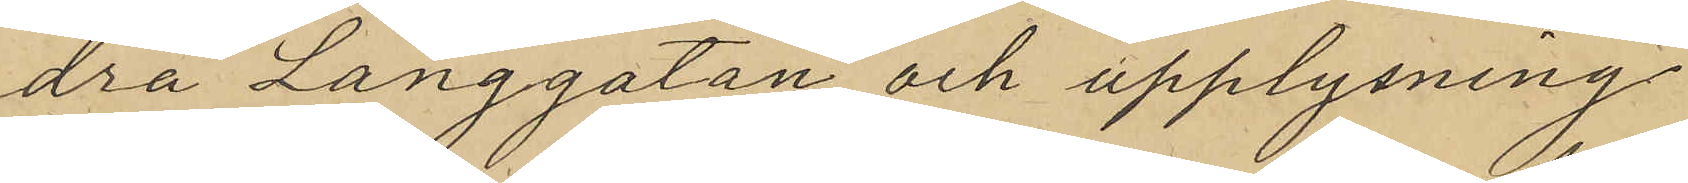dra Långgatan och upplysning
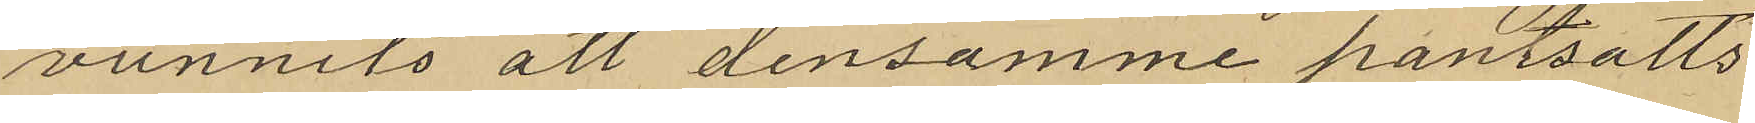vunnits att densamme panssatts
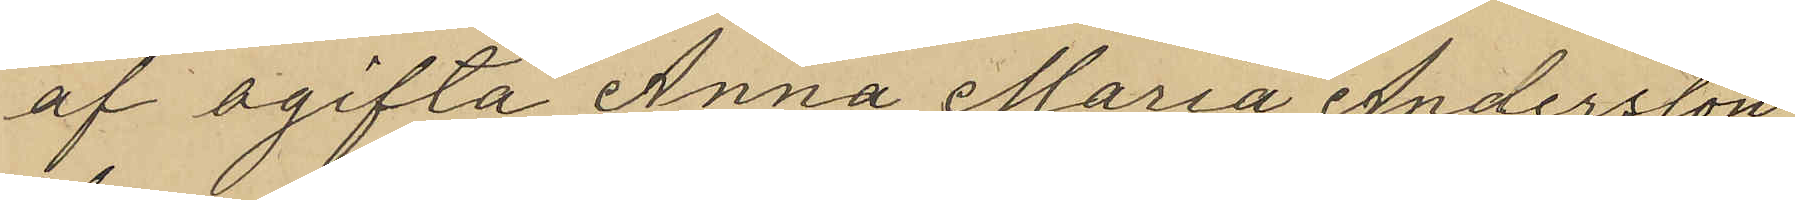af ogifta Anna Maria Andersson,
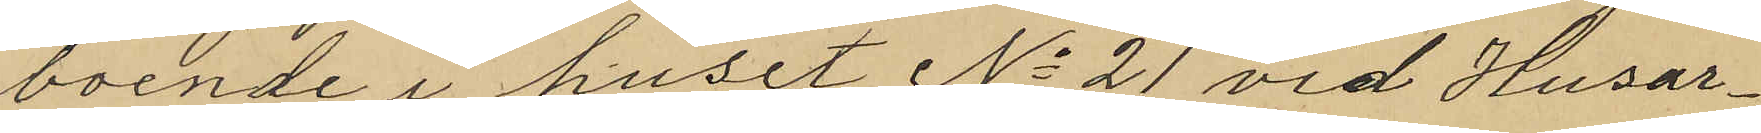boende i huset No 21 vid Husar¬
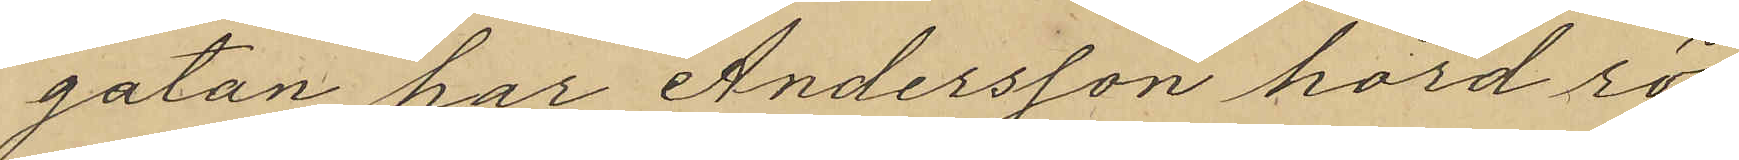gatan har Andersson hörd rö¬
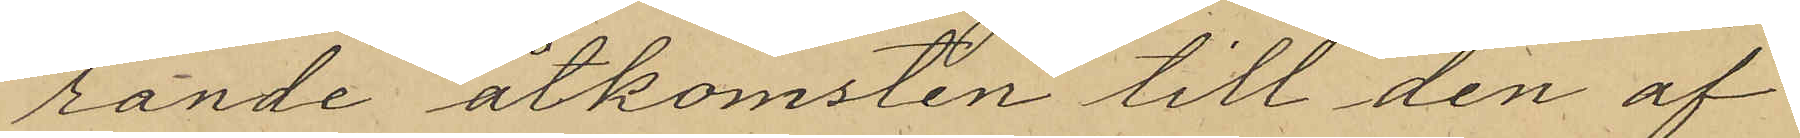rande åtkomsten till den af
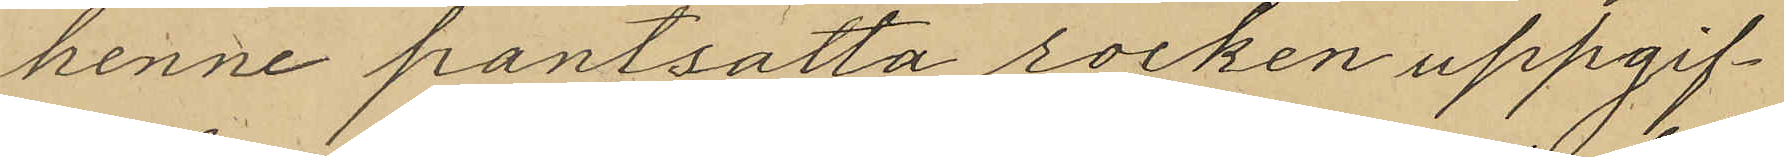henne pantsatta rocken uppgif¬
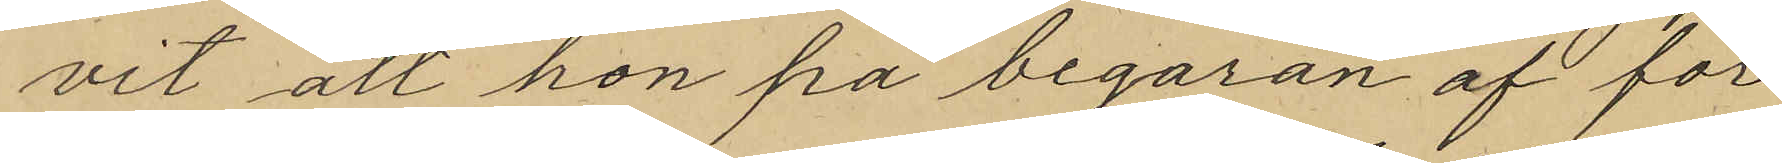vit att hon på begaran af för
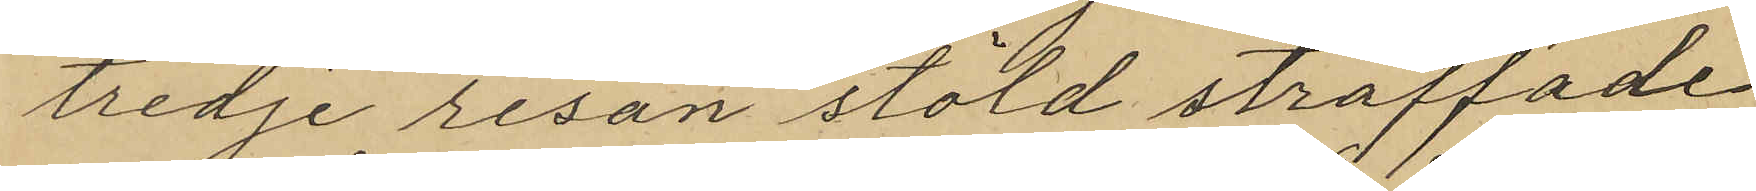tredje resan stöld straffade
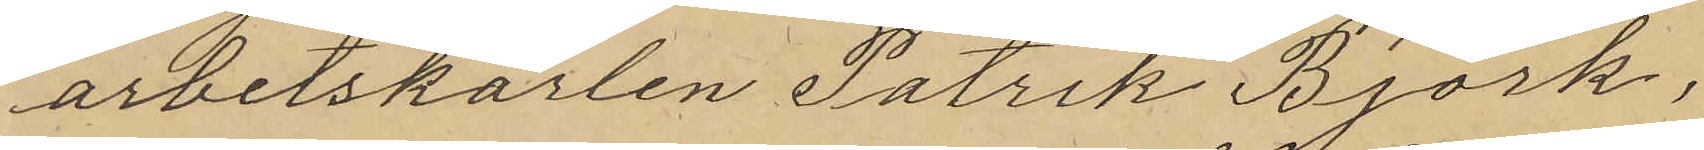arbetskarlen Patrik Björk,
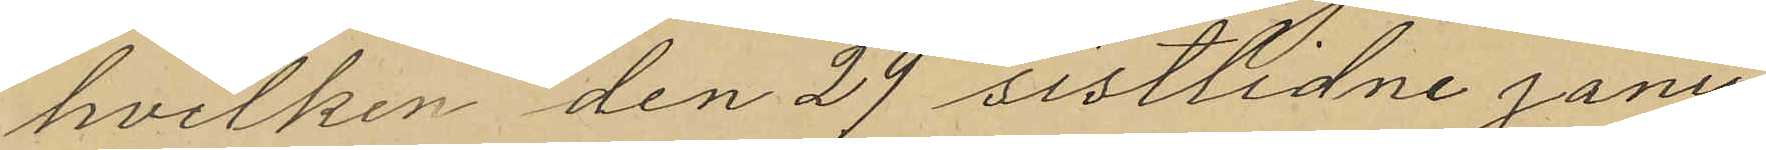hvilken den 29 sistlidne janu¬
